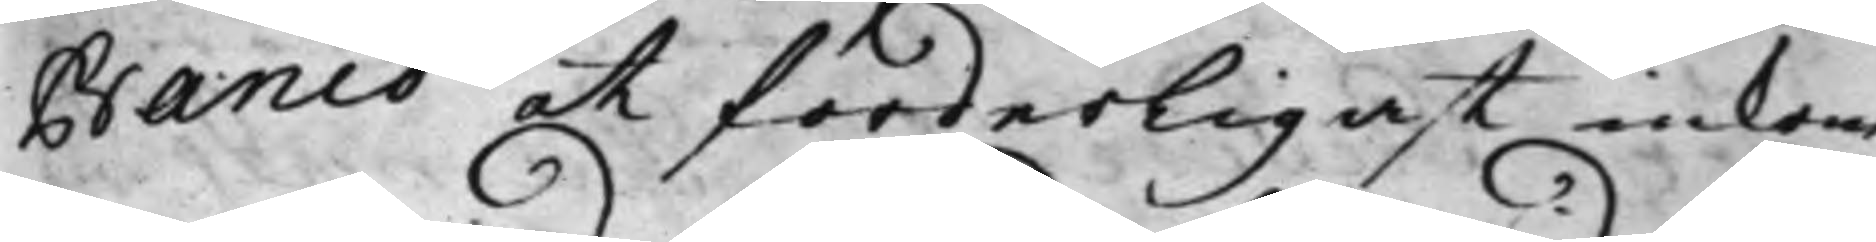Banco at forderligast inkom¬
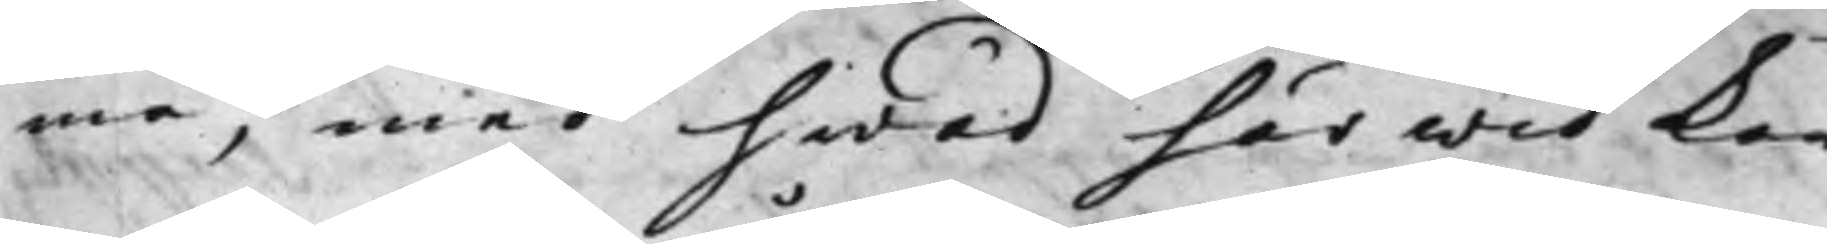ma, med hwad här wid kan
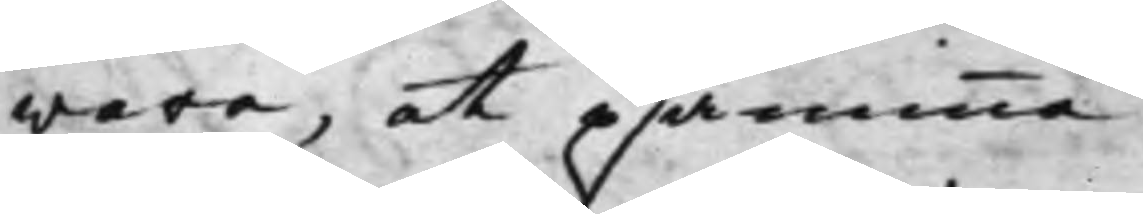vara, at påminna.
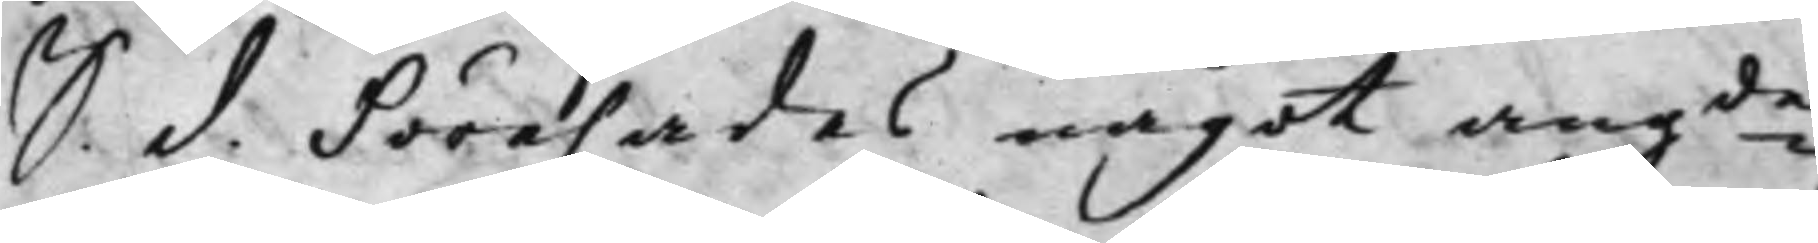S. d. Förehades något angde
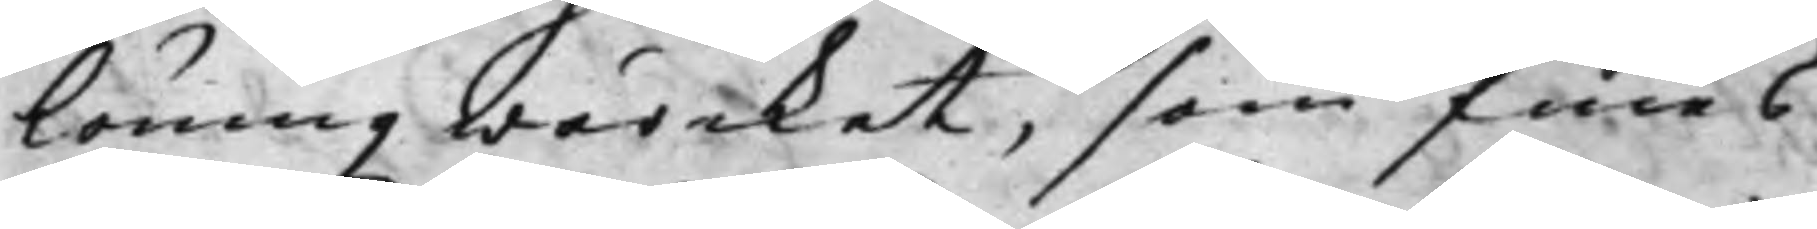löningzwärcket, som finnes
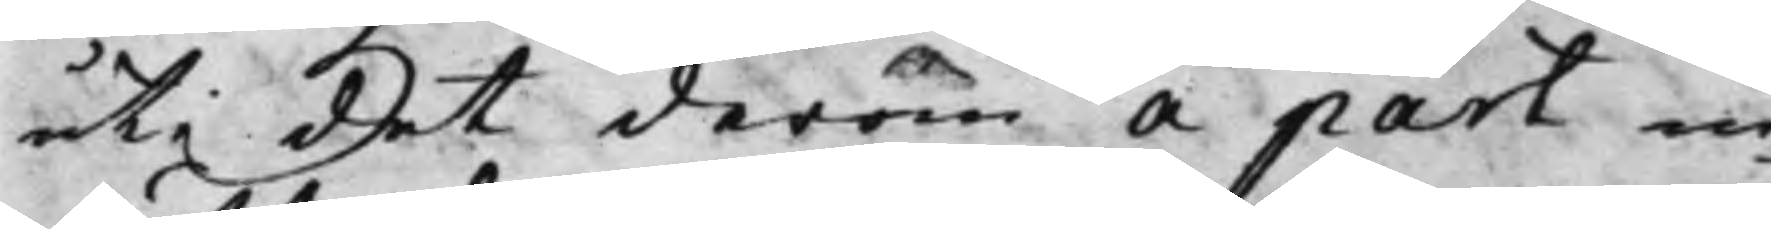uti det derom å part in¬
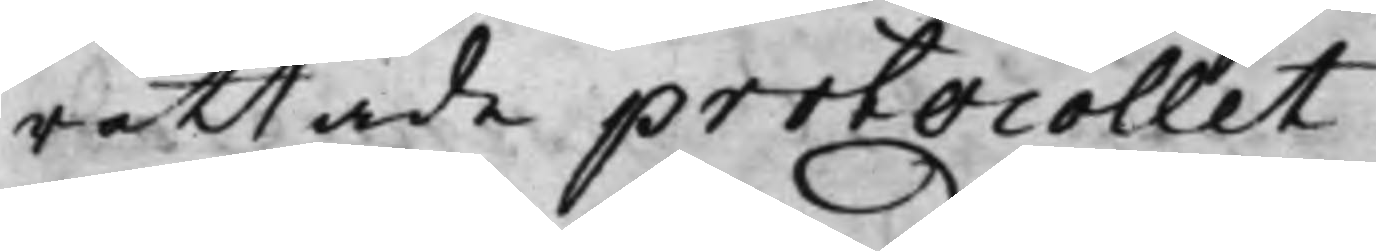rättade protocollet.
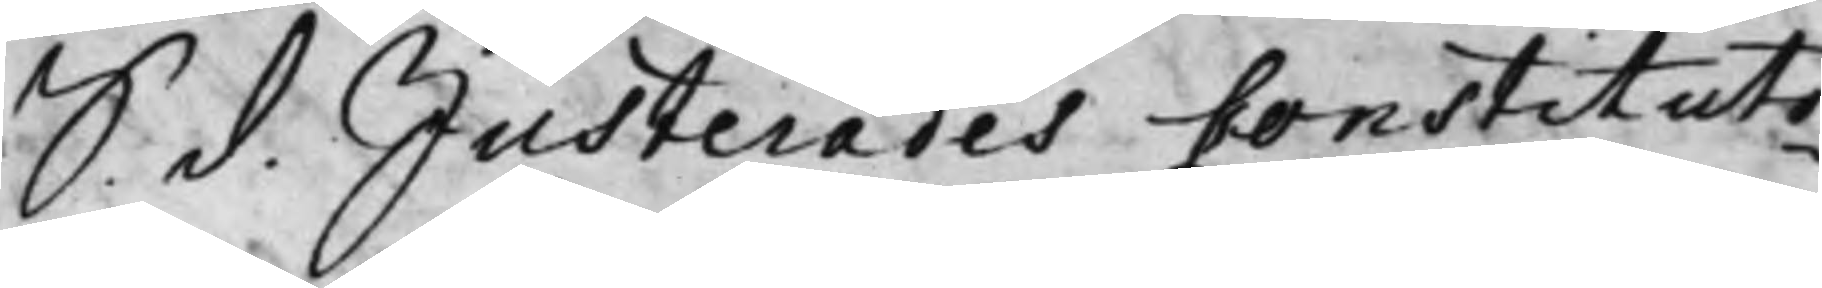S. d. Justerades Constituto¬
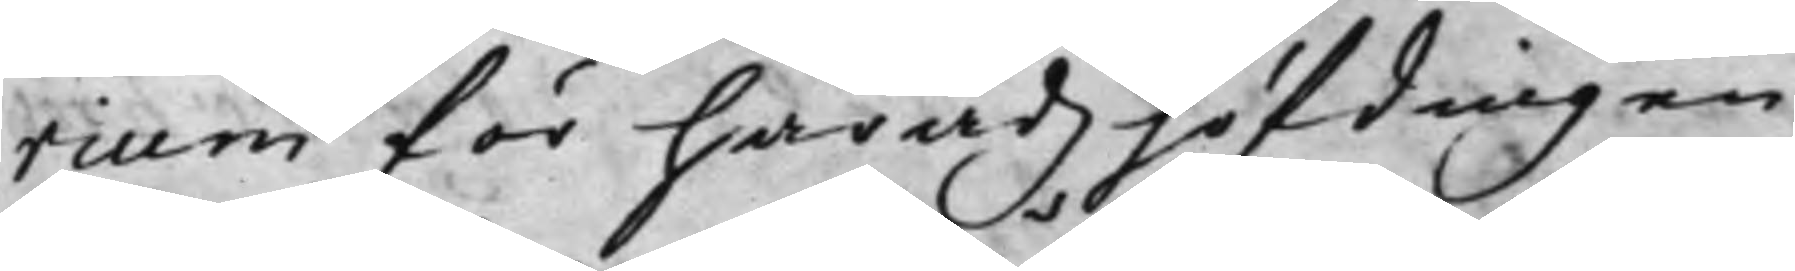rium för Häradzhöfdingen
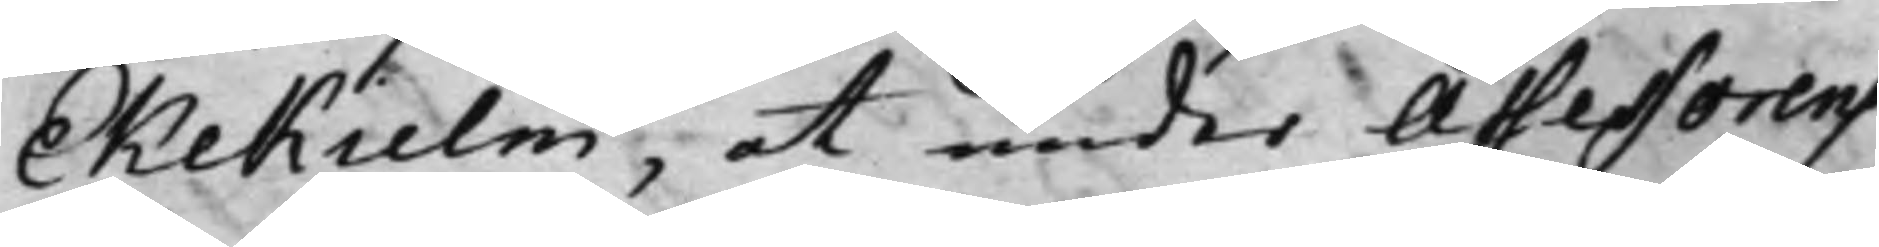Ekehielm, at under Assessorens
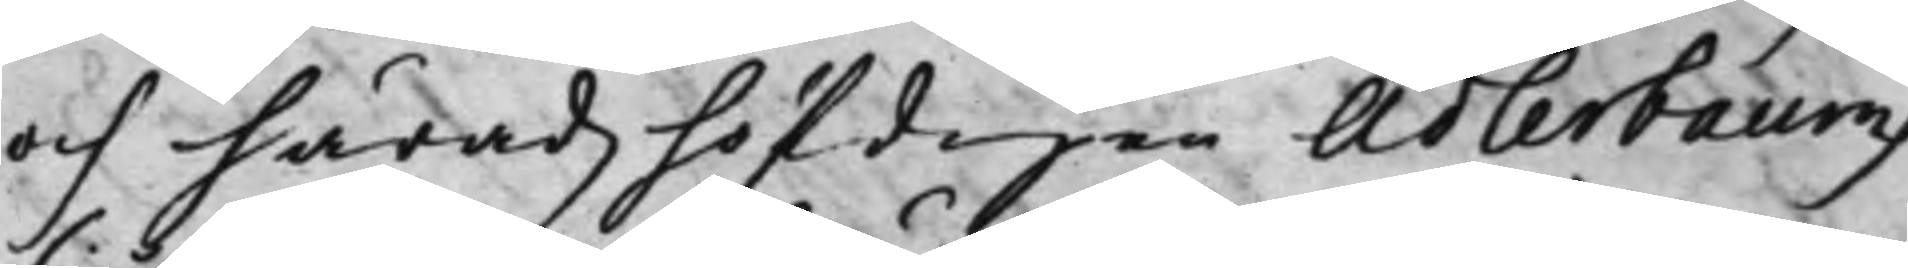och Häradzhöfdingen Adlerbaums
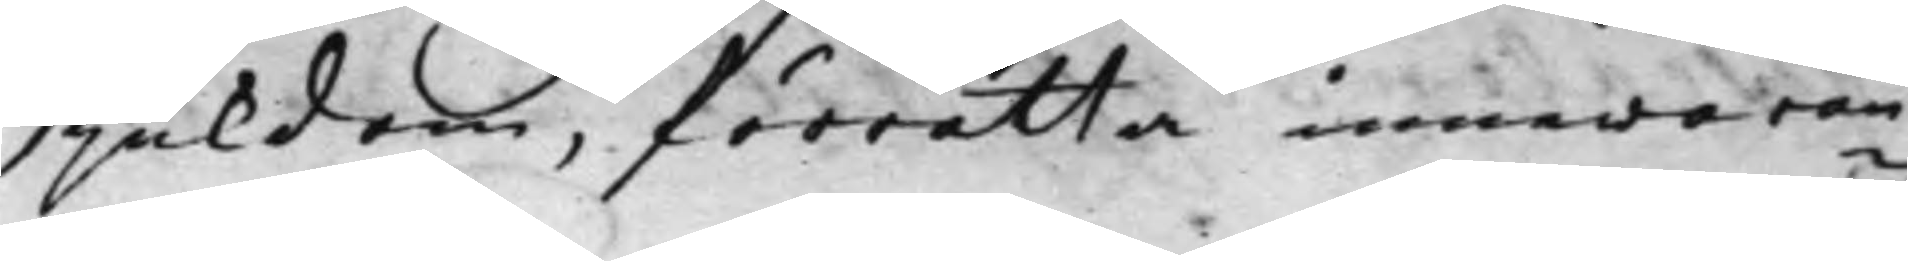sjukdom, förrätta innewaran¬
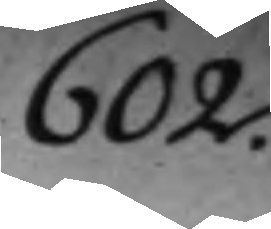602.
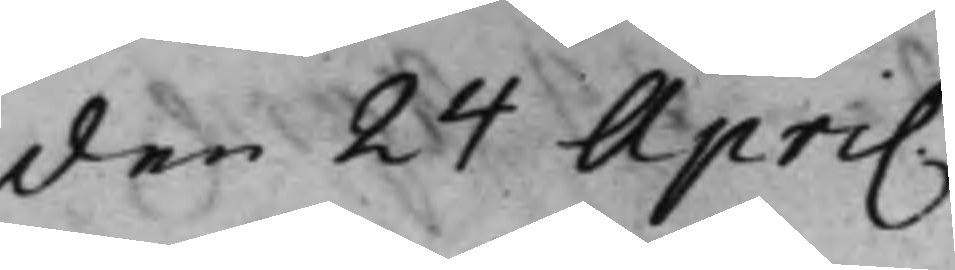den 24 April
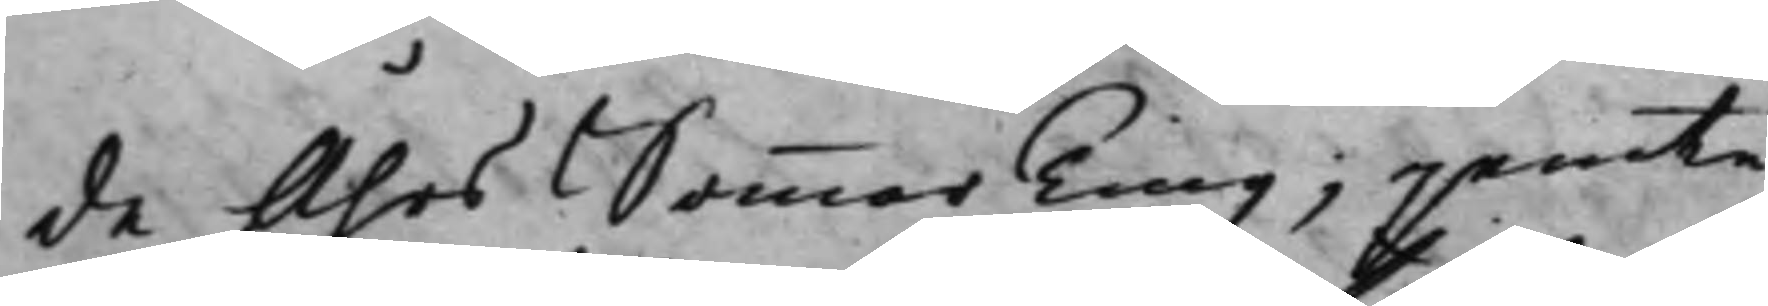de Åhrs SommarTing, jemte
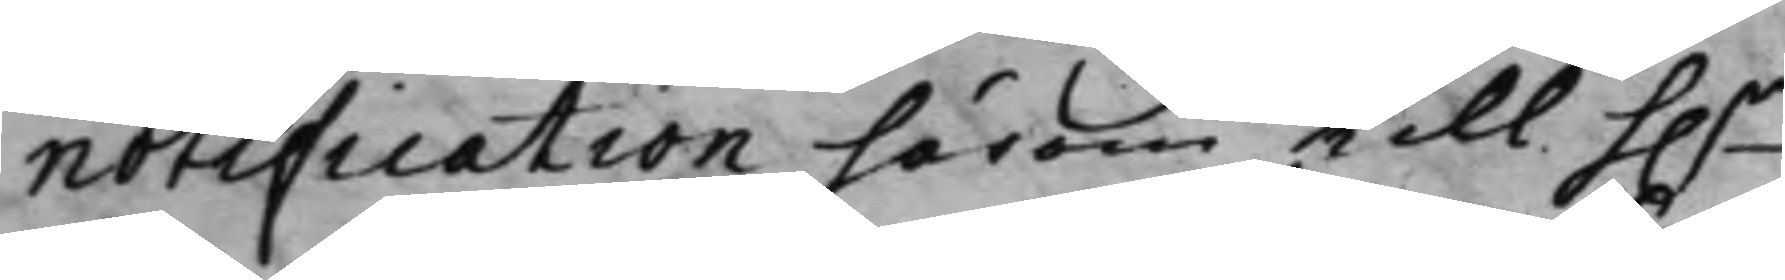notification härom till h.r 
